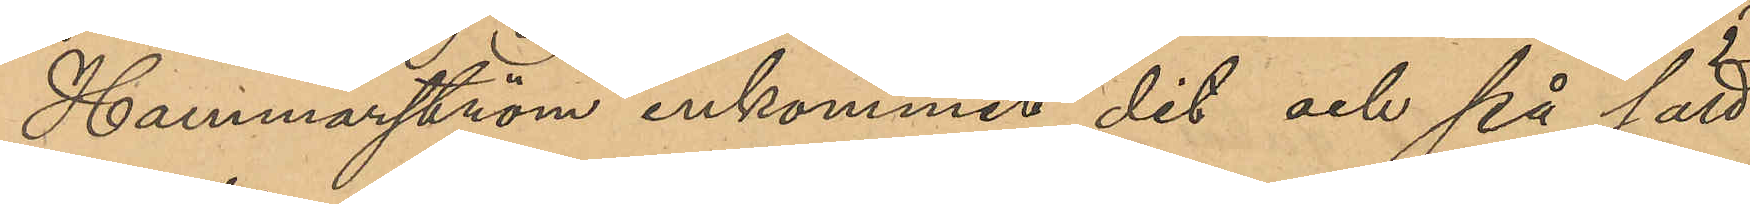Hammarström inkommit dit och på sätt
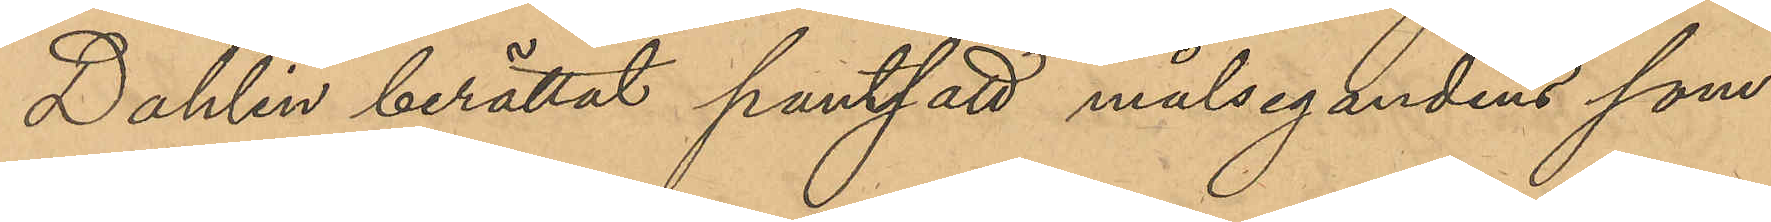Dahlin berättat pantsatt målsegandens som¬
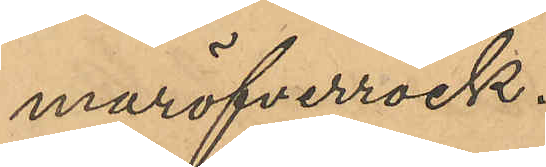maröfverrock.
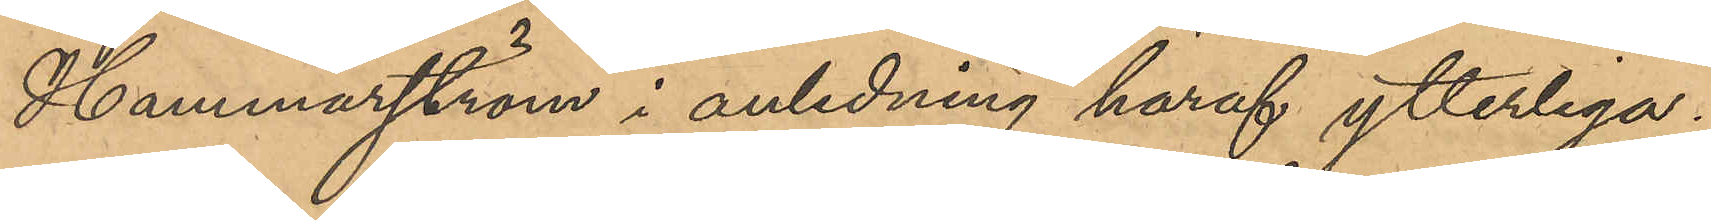Hammarström i anledning häraf ytterliga¬
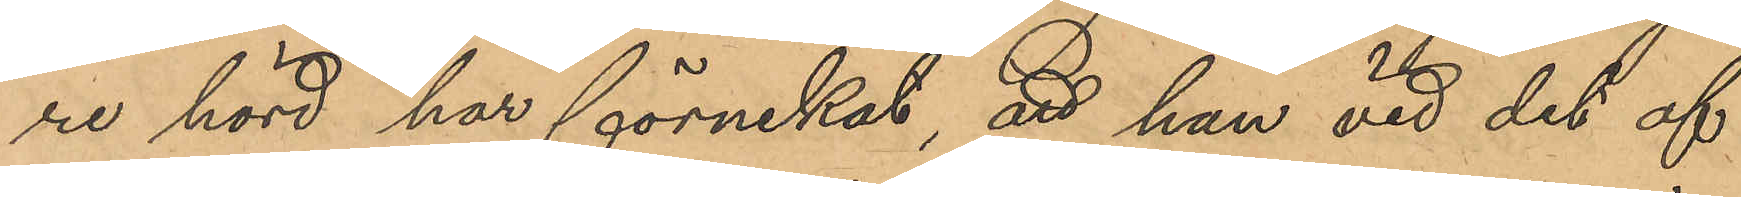re hörd har förnekat, att han vid det af
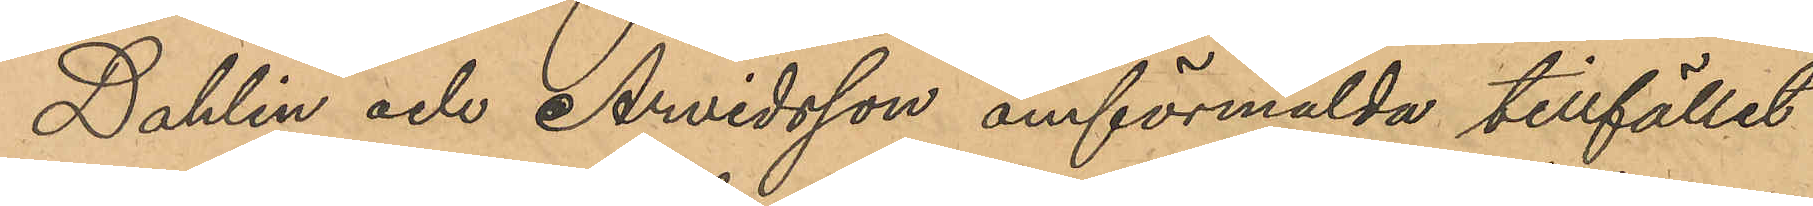Dahlin och Arvidsson omförmälda tillfället
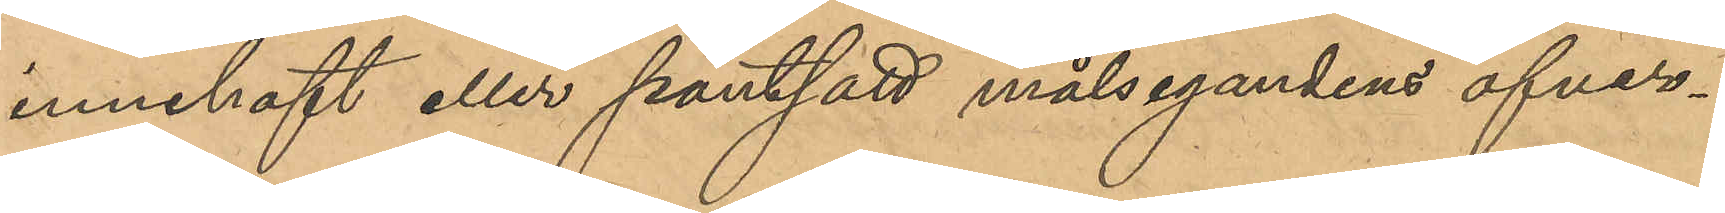innehaft eller pantsatt målsegandens öfver¬
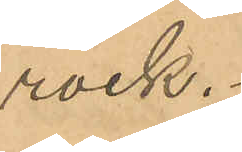rock.
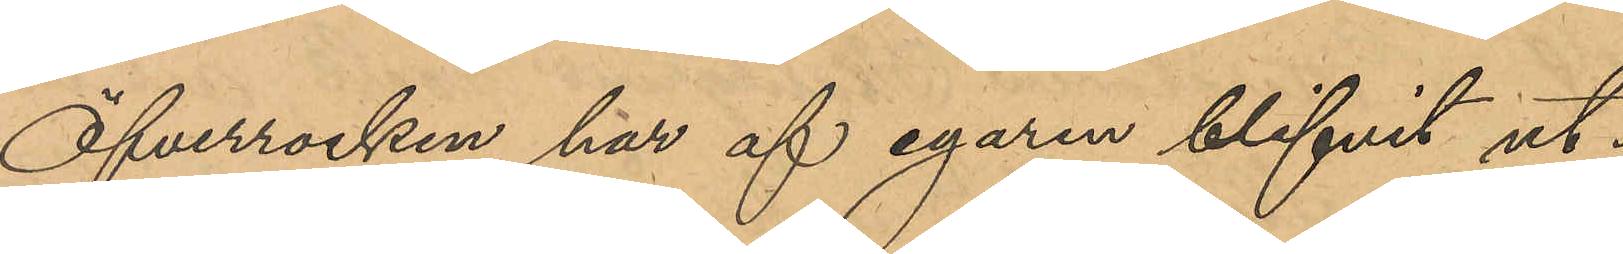Öfverrocken har af egaren blifvit ut¬
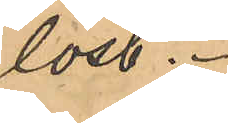löst.
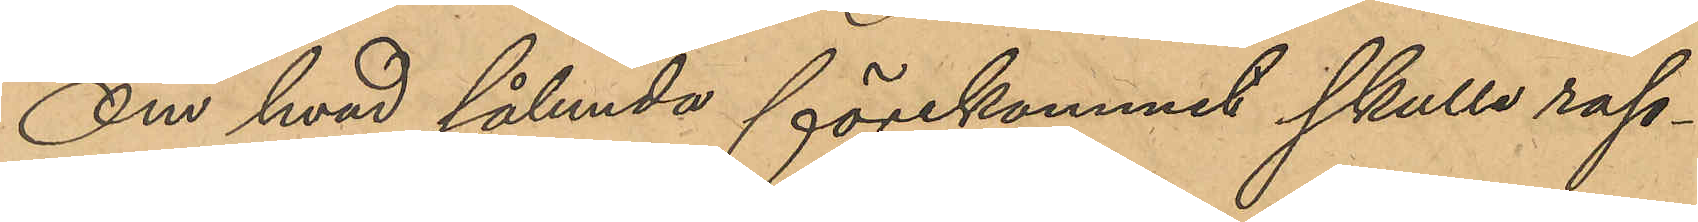Om hvad sålunda förekommit skulle rap¬
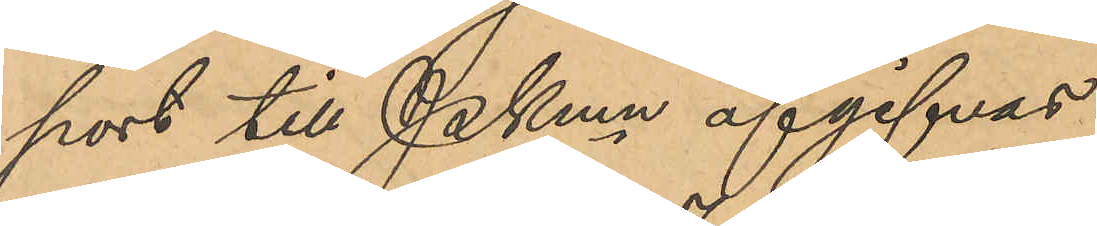port till PKmn afgifvas.
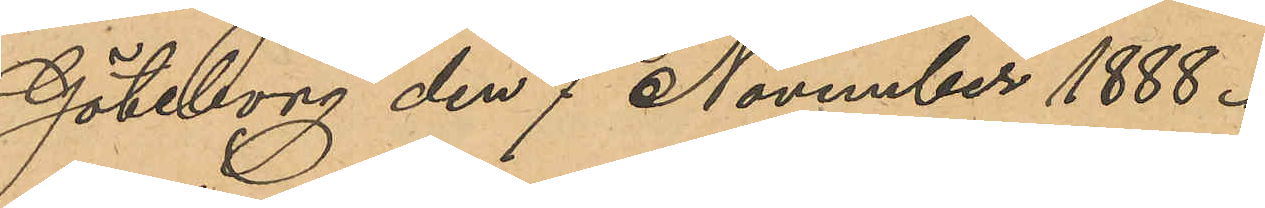Göteborg den 7 November 1888.
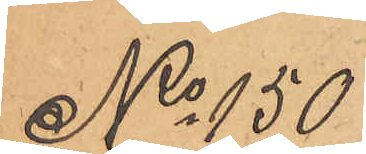No 150
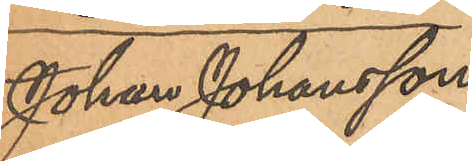Johan Johansson
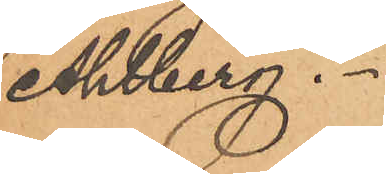Ahlberg.
